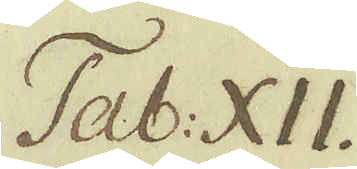Tab: XII.
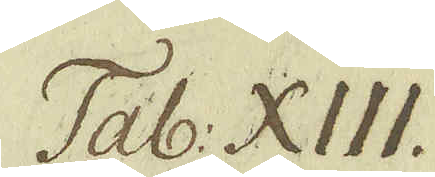Tab: XIII.
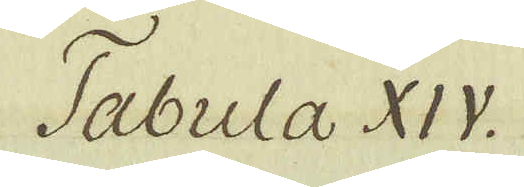Tabula XIV.
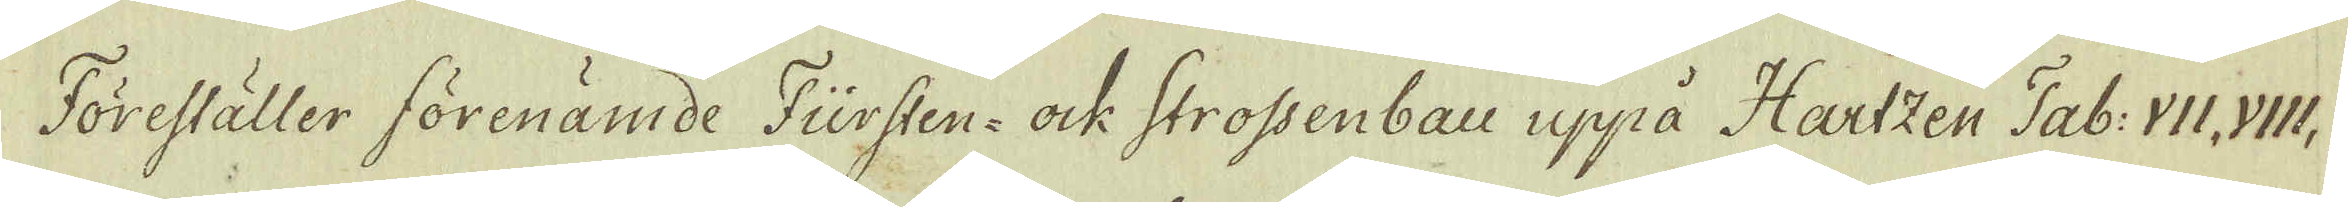Föreställer förenämde Fürsten- ock Strossenbau uppå Hartzen Tab: VII. VIII,
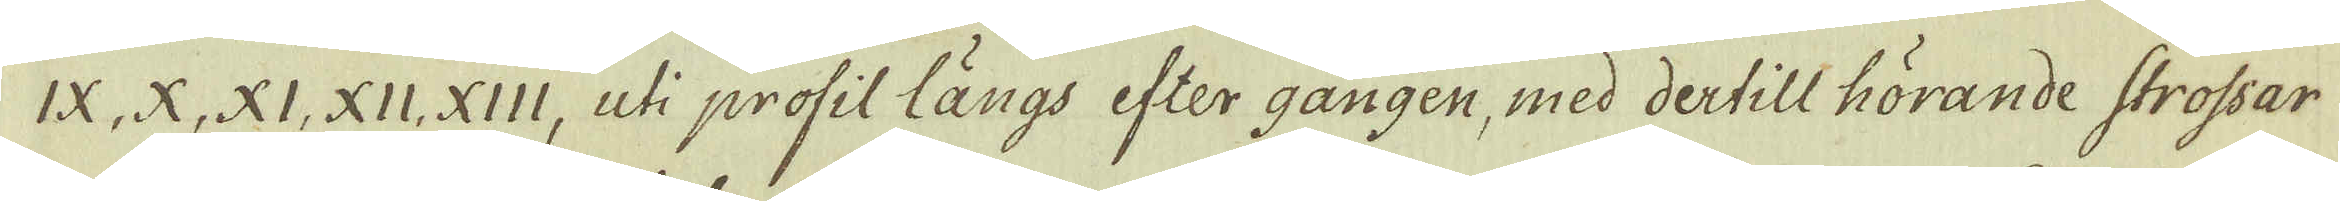IX, X, XI., XII. XIII, uti profil längs efter gången, med dertill hörande strossar
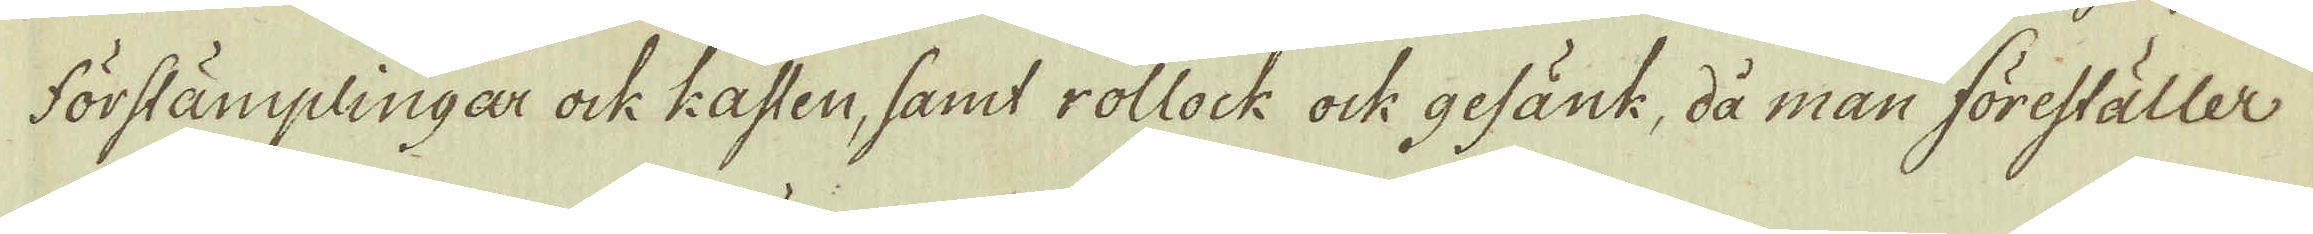förstämplingar ock Kasten, samt rollock ock gefänk, då man föreställer
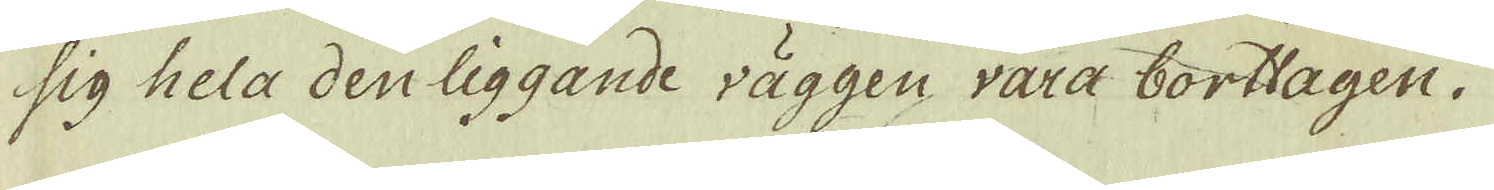sig hela den liggande väggen vara borttagen.
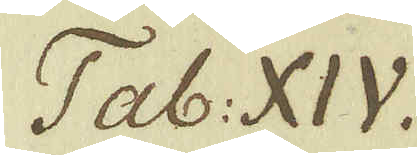Tab. XIV.
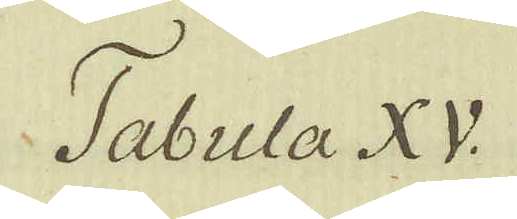Tabula XV.
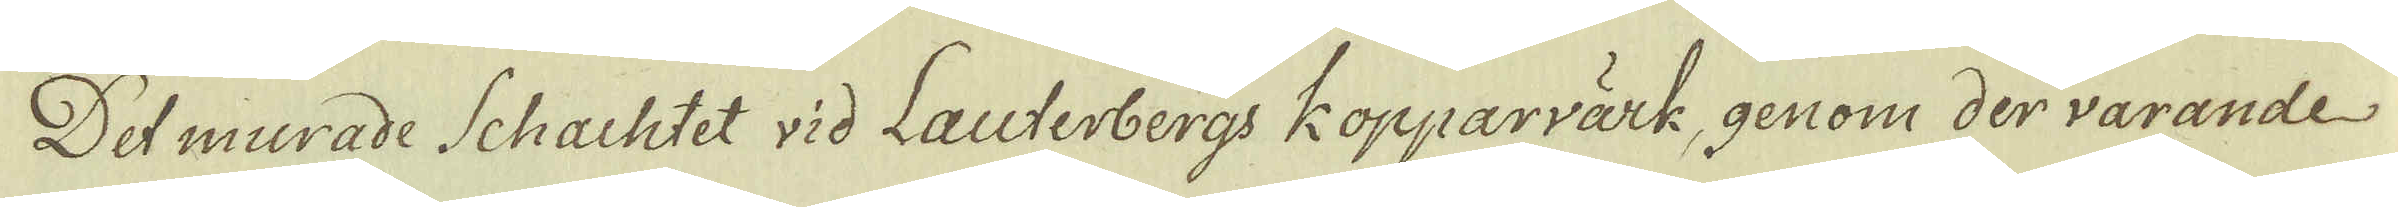Det murade Schachtet vid Lauterbergs kopparvärk, genom der varande
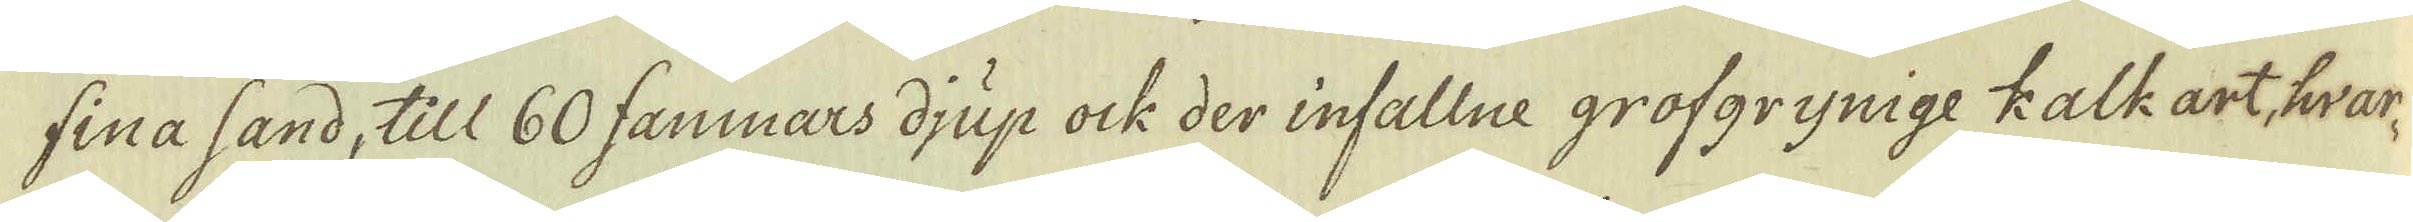fina sand, till 60 famnars djup ock der infallne grofgrynige kalkart, hvar-
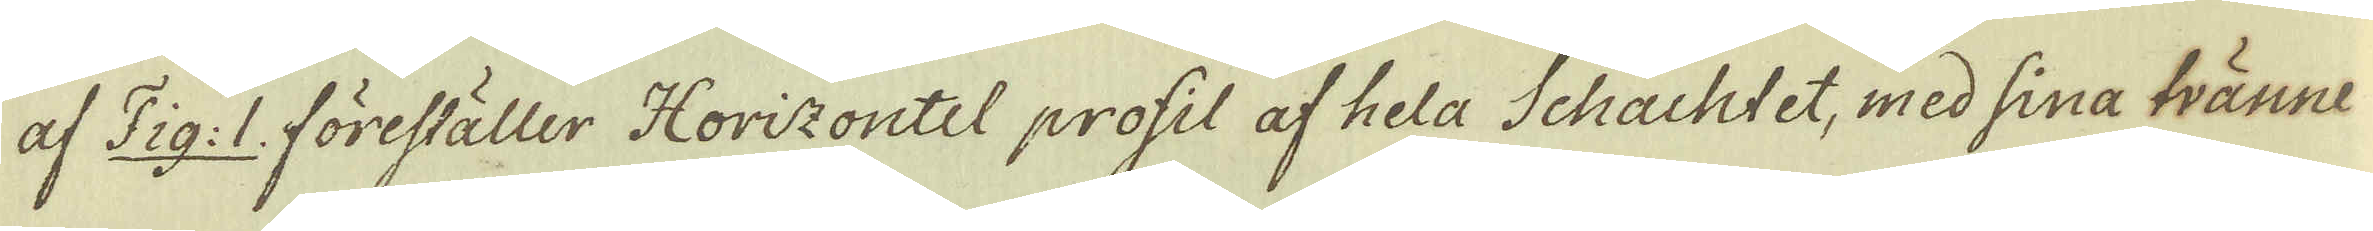af Fig: 1. föreställer Horizontel profil af hela Schachtet, med sina tvänne
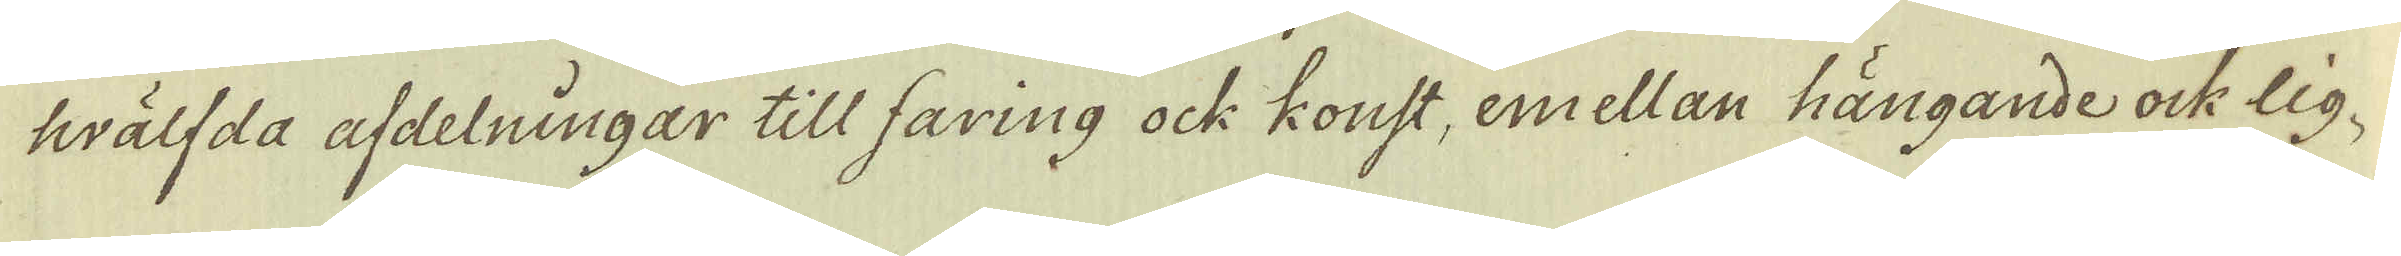hwälfda afdelningar till faring ock konst, emellan hängande ock lig-
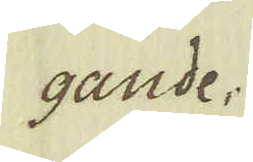gande.
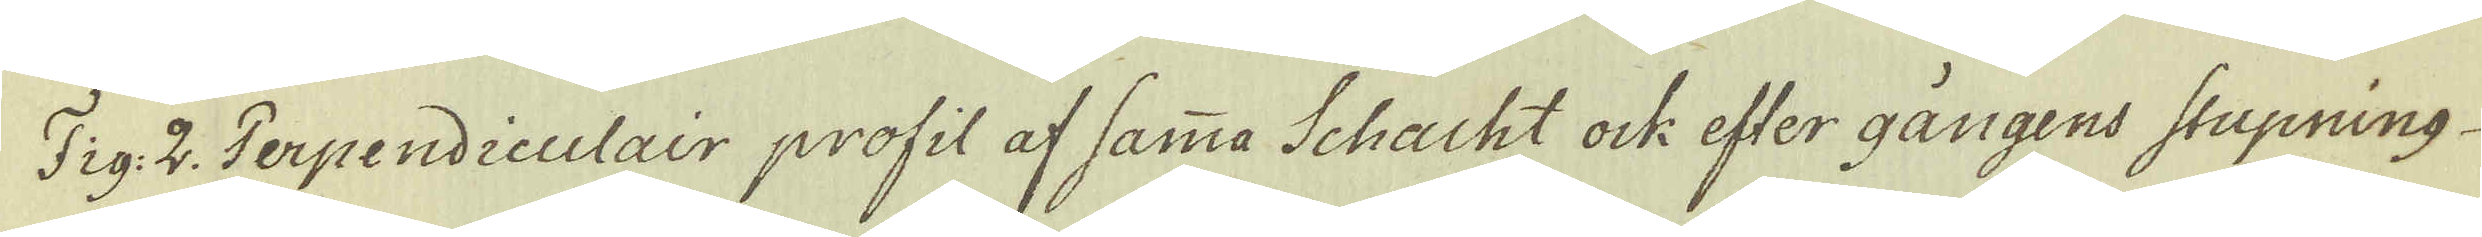Fig: 2. Terpendiculair profil af samma Schacht ock efter gångens stupning
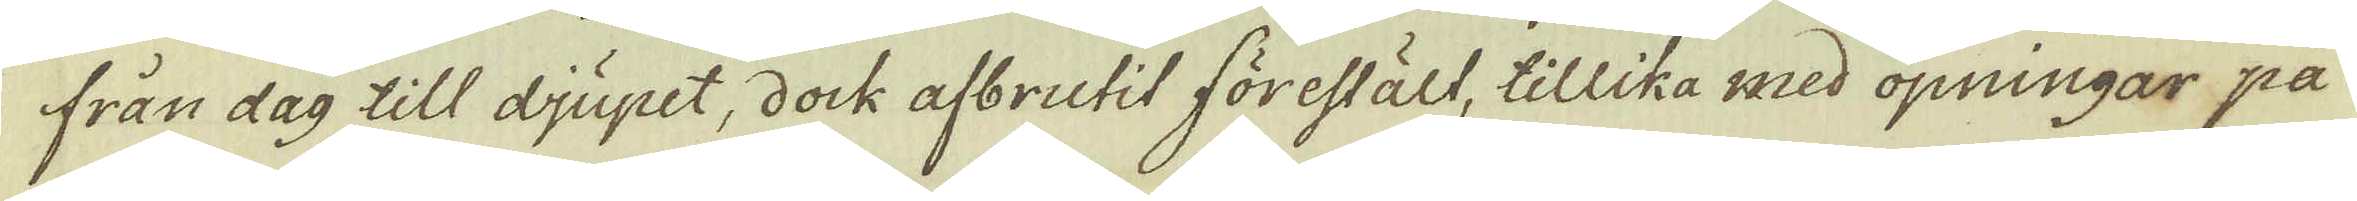från dag till djupet, dock afbrutit förestält, tillika med öpningar på
